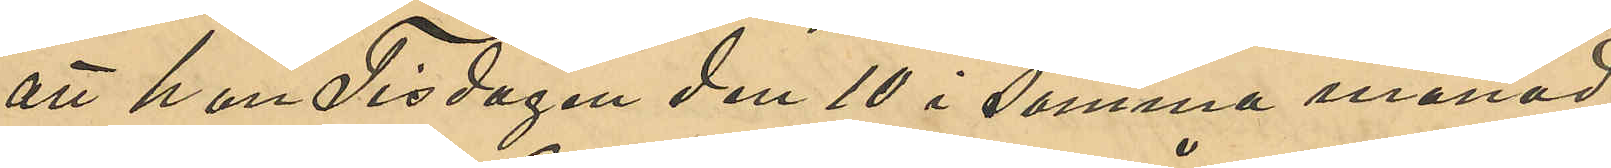att han Tisdagen den 10 i samma månad
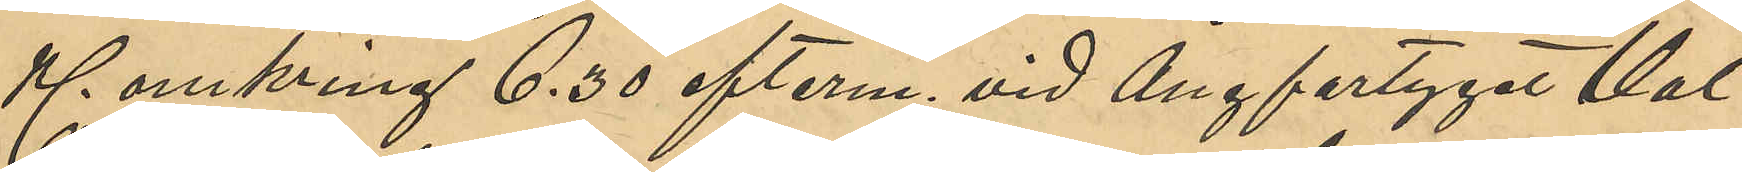Kl omkring 6,30 efterm. vid Ångfartyget Val¬
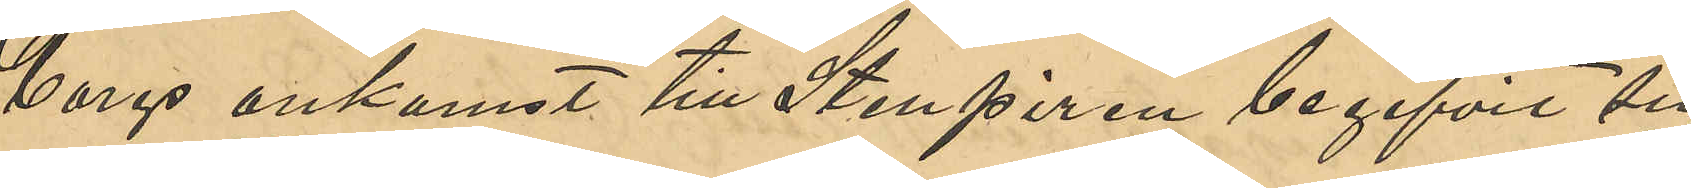borgs ankomst till Stenpiren begifvit sig
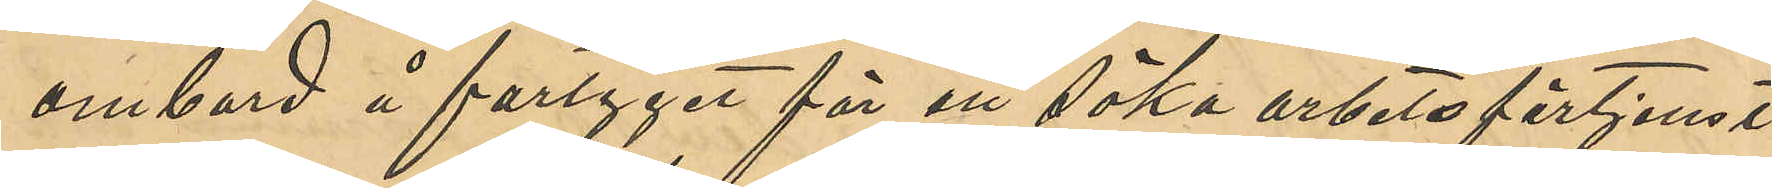ombord å fartyget för att söka arbetsförtjenst
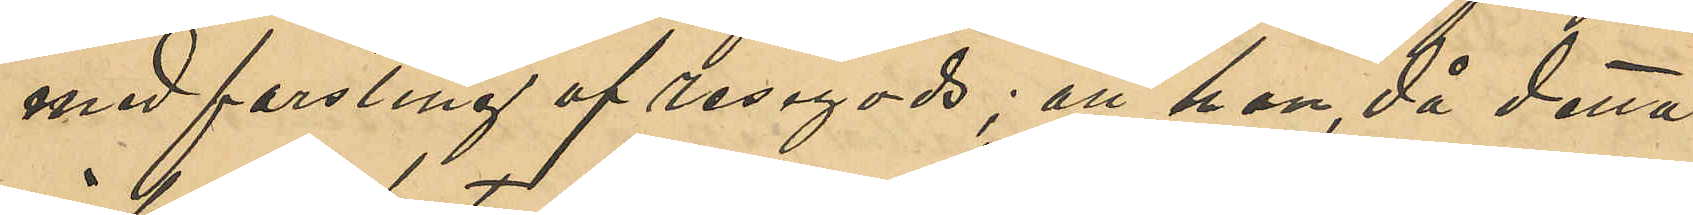med forsling af resegods; att han, då detta
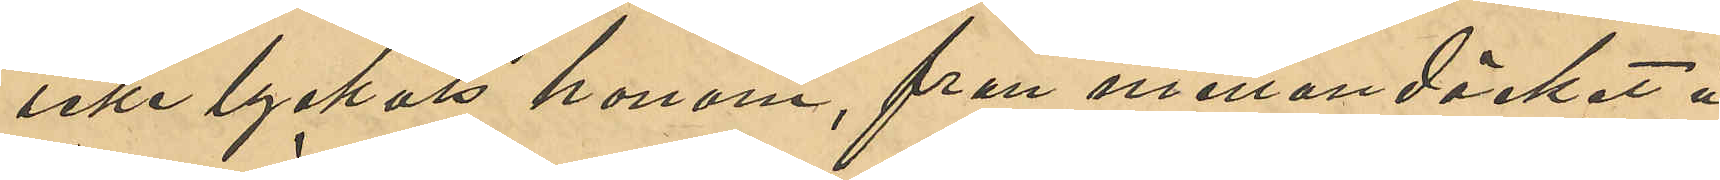icke lyckats honom från mellandäcket å
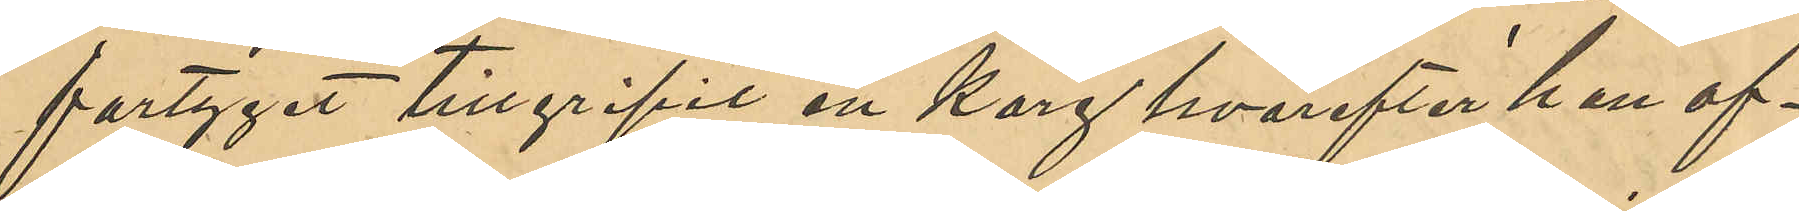fartyget tillgripit en korg hvarefter han af¬
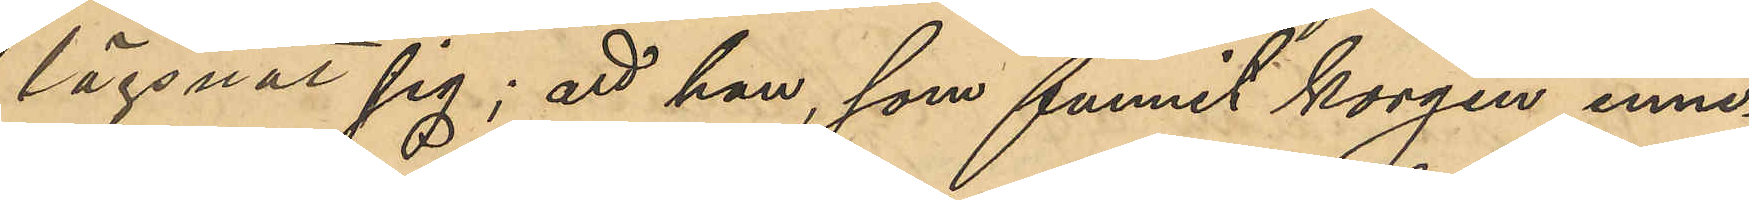lägsnat sig; att han, som funnit korgen inne¬
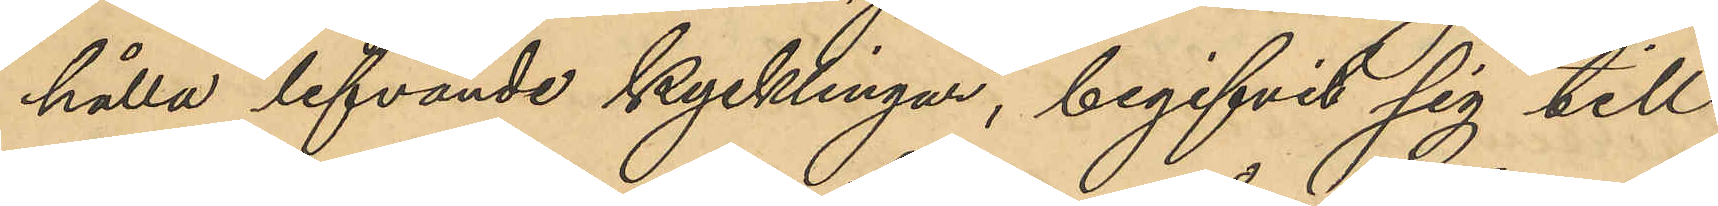hålla lefvande kycklingar, begifvit sig till
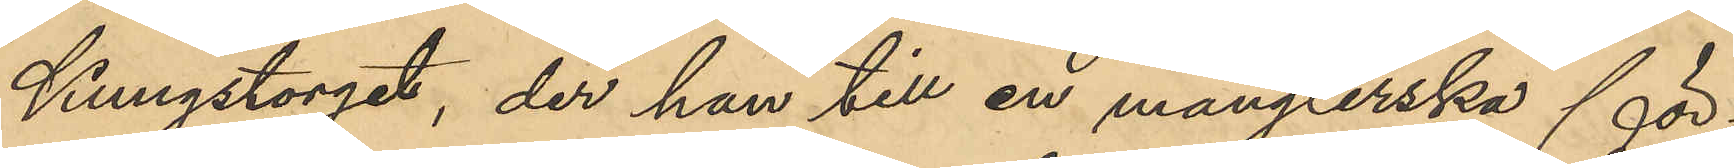Kungstorget, der han till en månglerska för¬
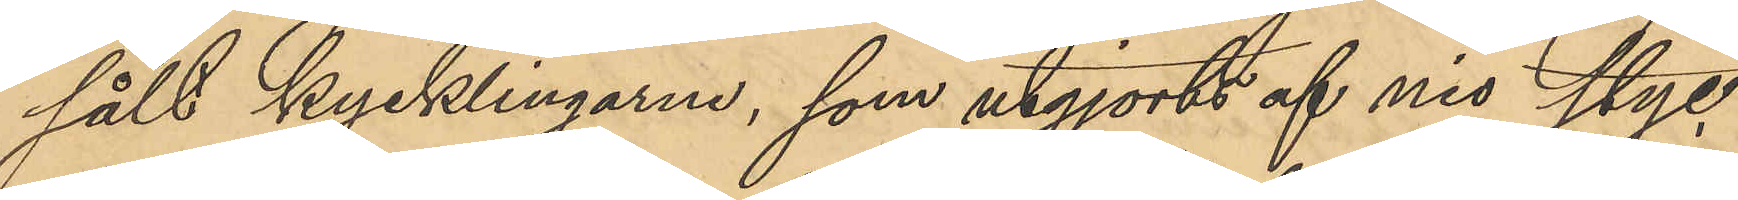sålt kycklingarne, som utgjorts af nio styc¬
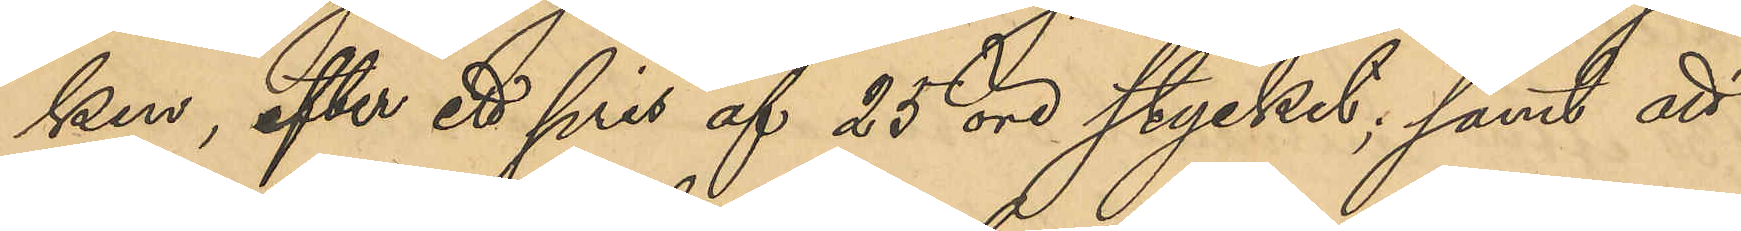ken, efter ett pris af 25 öre stycket; samt att
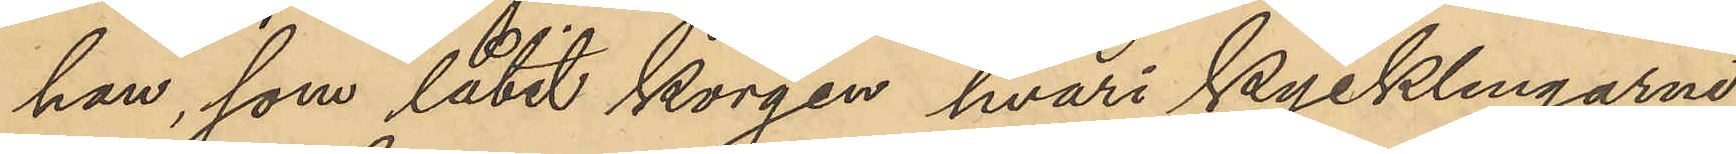han, som låtit korgen hvari kycklingarne
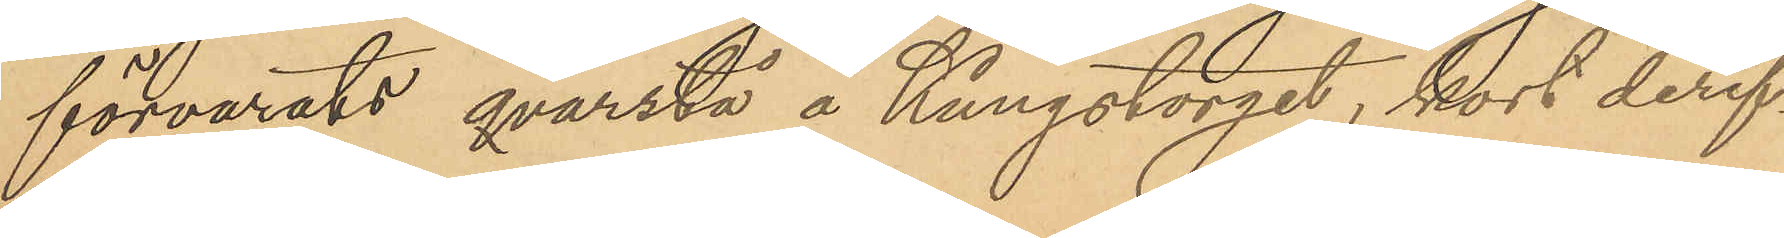förvarats qvarstå å Kungstorget, kort deref¬
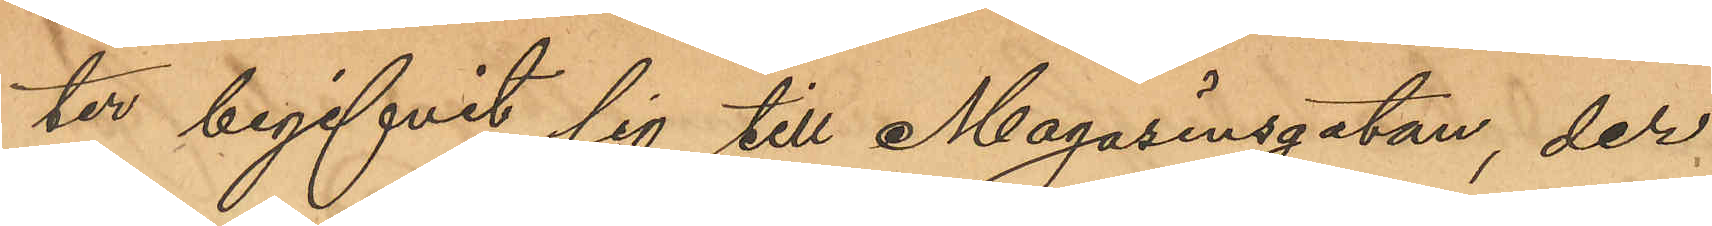ter begifvit sig till Magasinsgatan, der
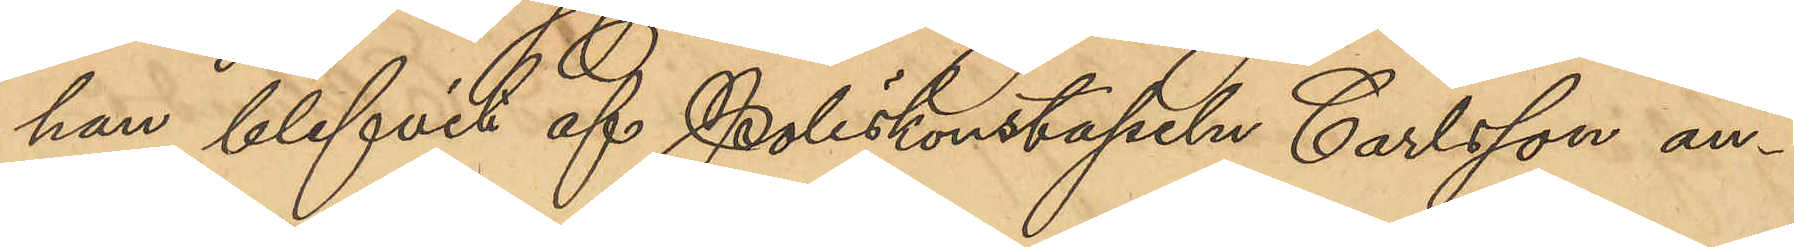han blifvit af Poliskonstapeln Carlsson an¬
